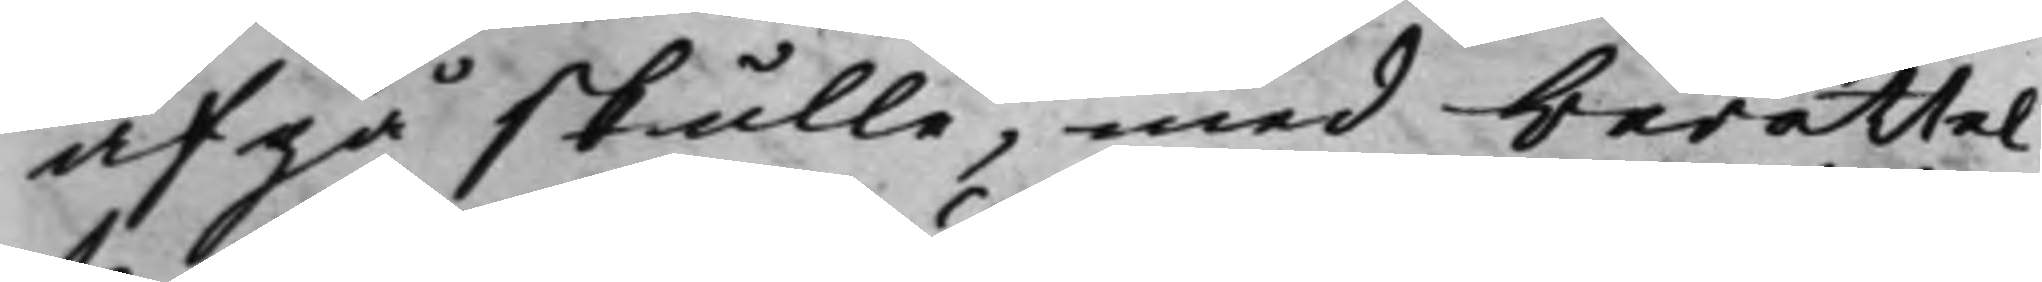afgå skulle, med berättel¬
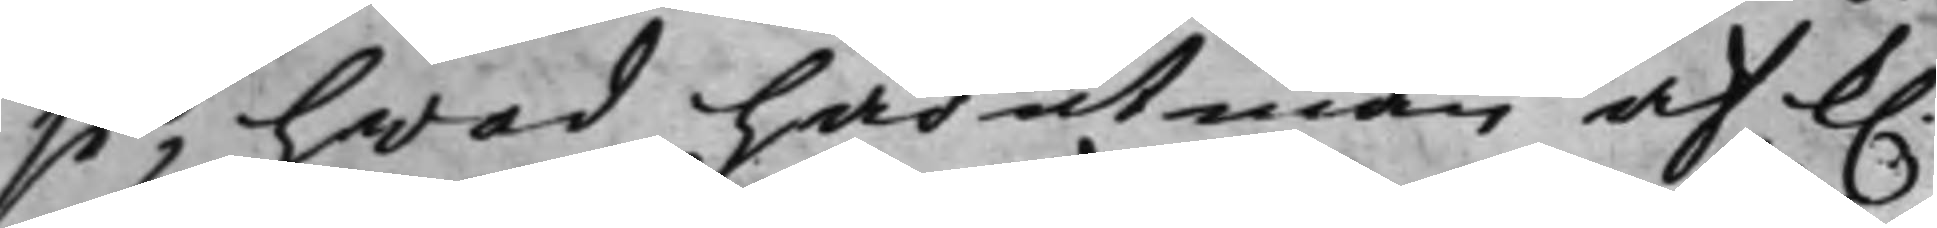se, hwad härutinnan af K. 
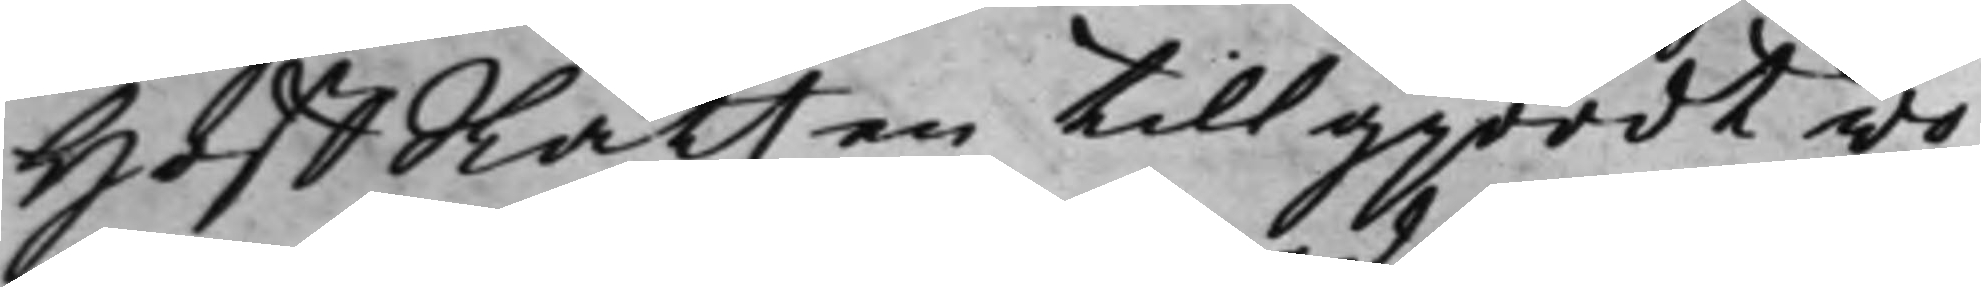HoffRätten tillgjordt vo¬
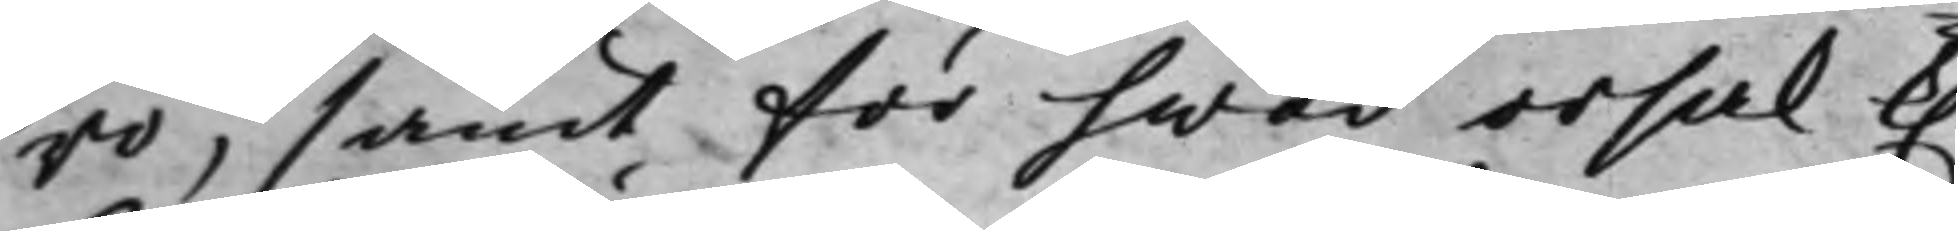ro, samt för hwad orsak K.
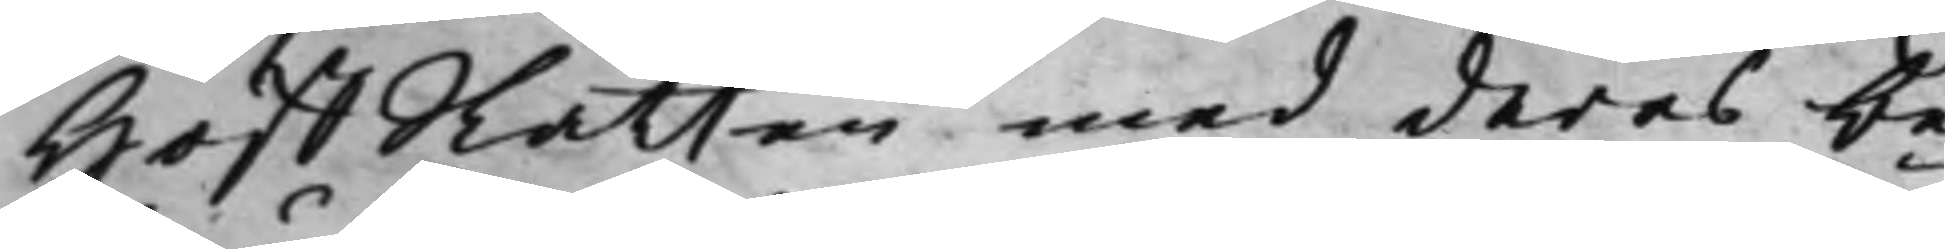HoffRätten med deras be¬
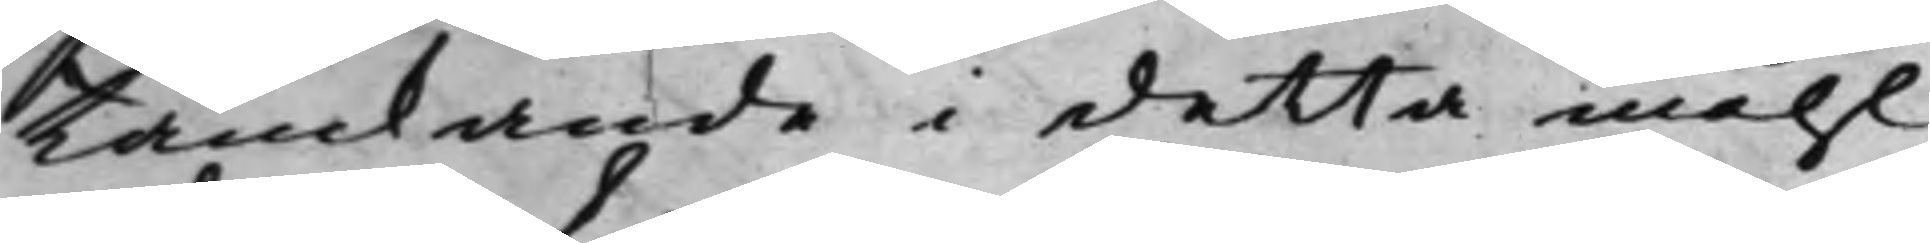tänkande i detta måhl
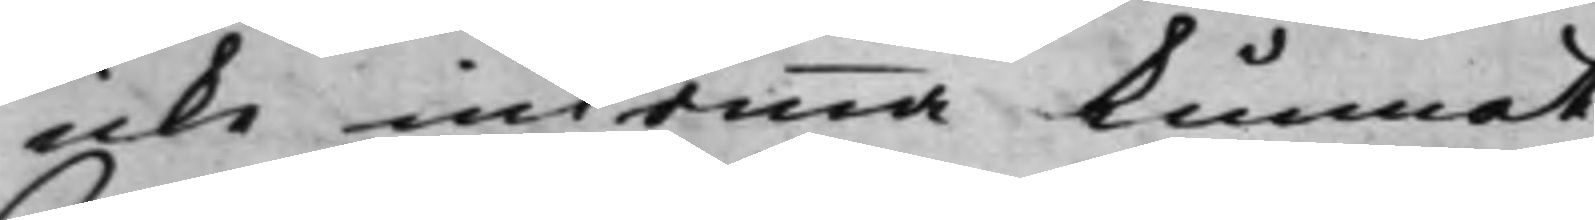icke inkomma kunnat.
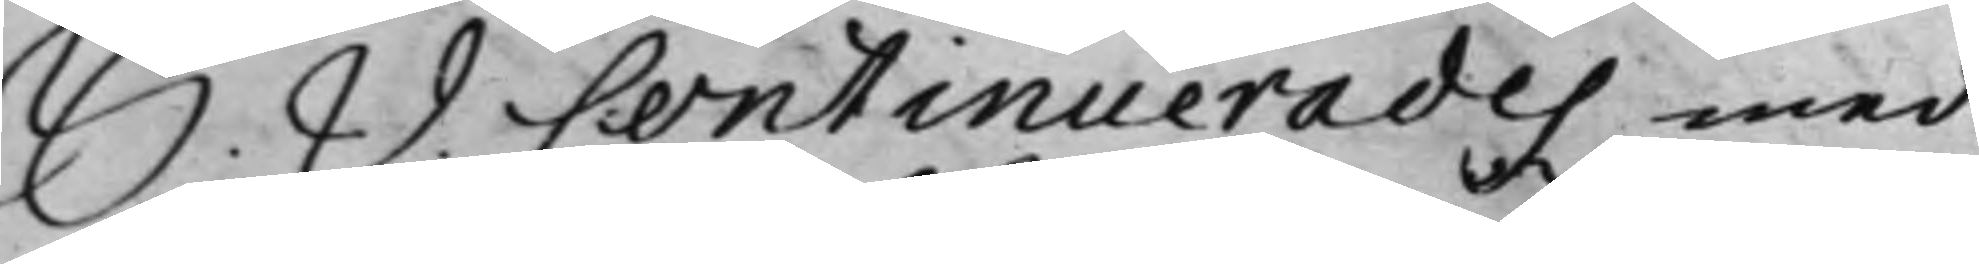S. D. Continuerades med
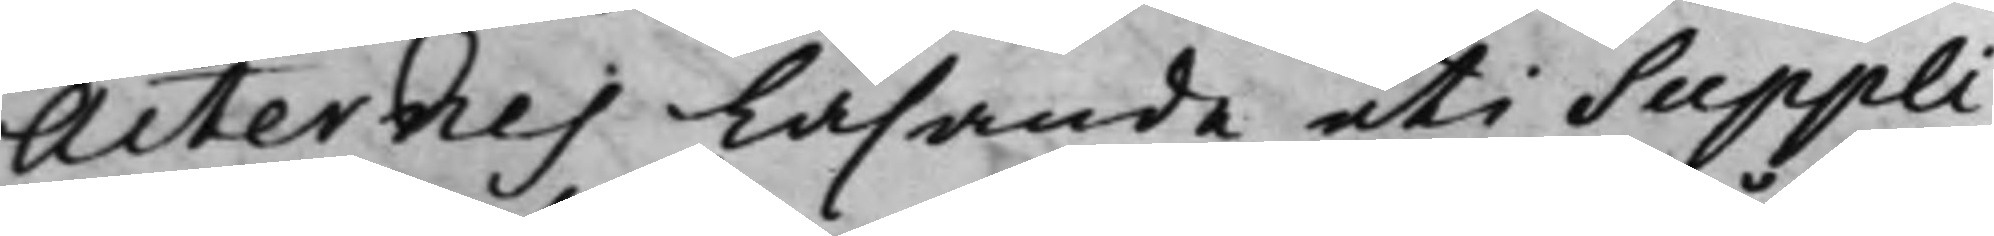Acternes läsande uti Suppli¬
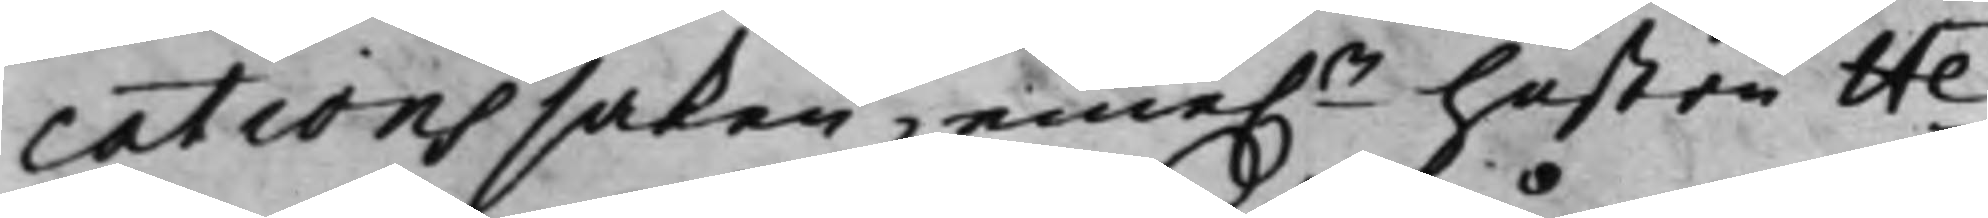cations saken, eme.n hustru He¬
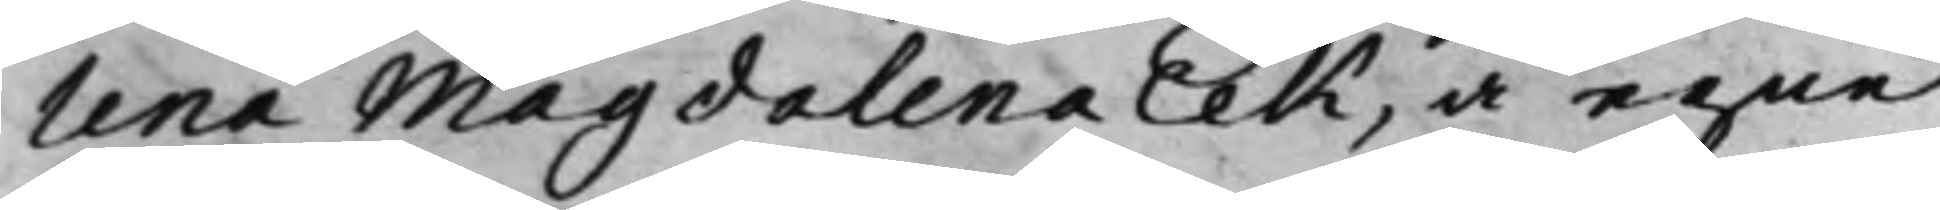lena Magdalena Eek, å egne
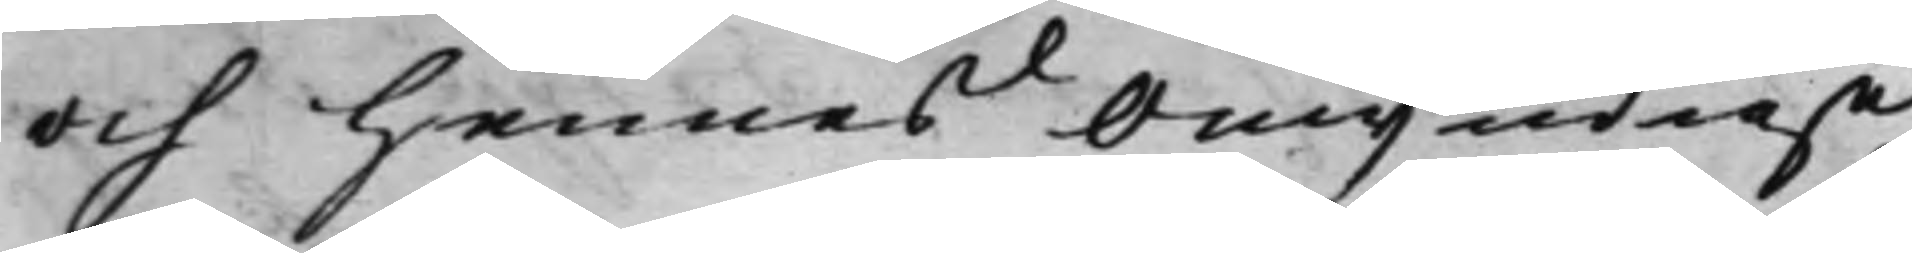och hennes Omyndige
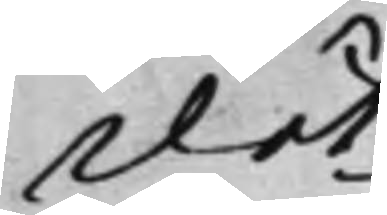Döt¬
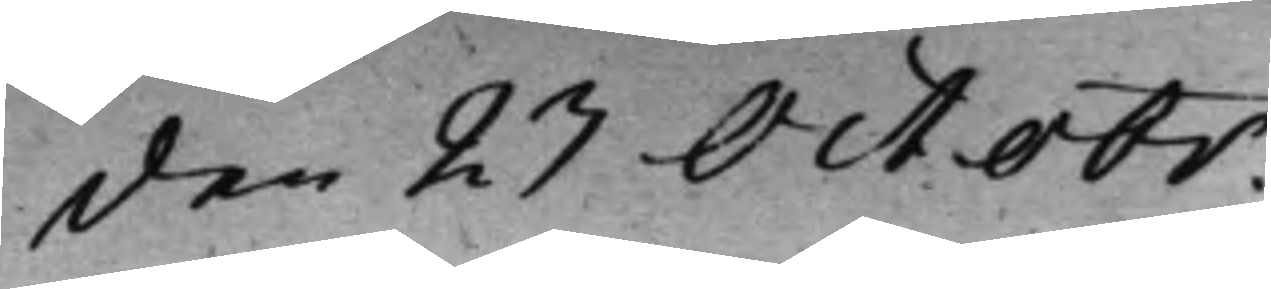den 23 Octobr
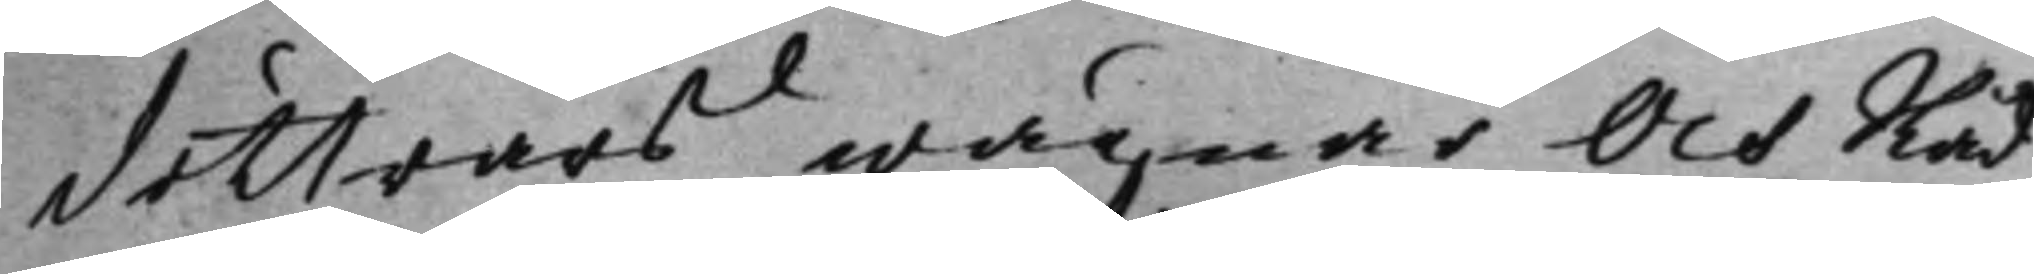döttrars wägnar. Och Råd¬
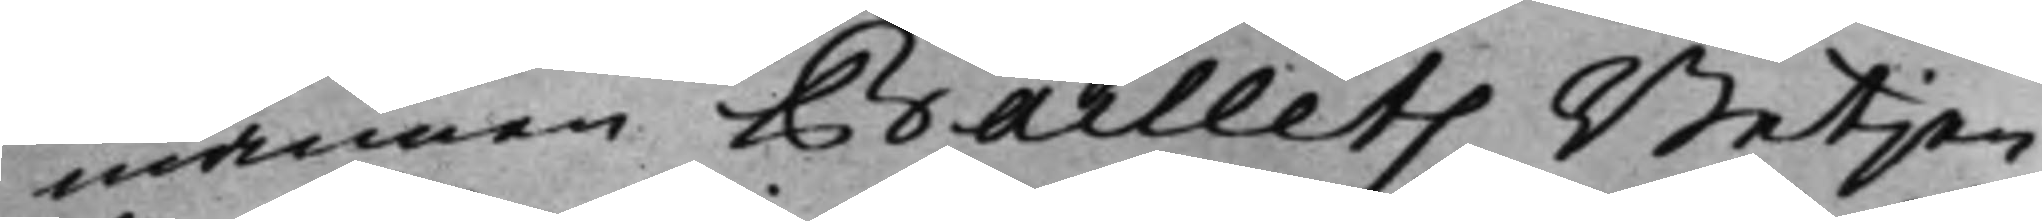mannen Baillets Betjen¬
